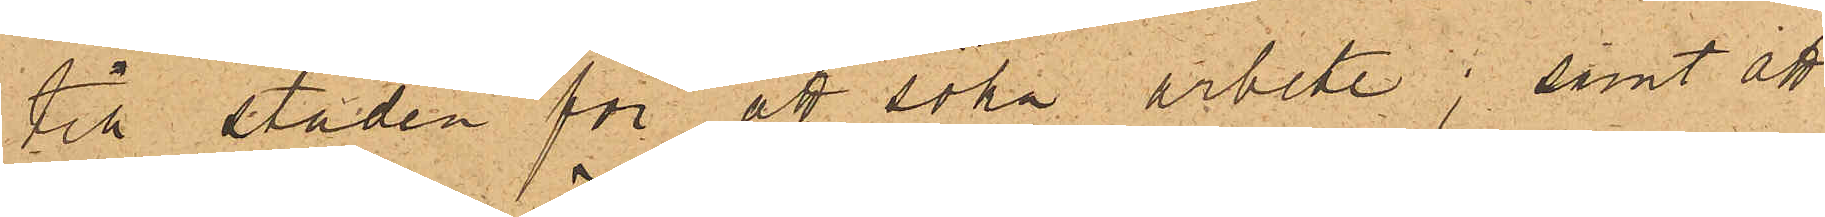till staden för att söka arbete; samt att
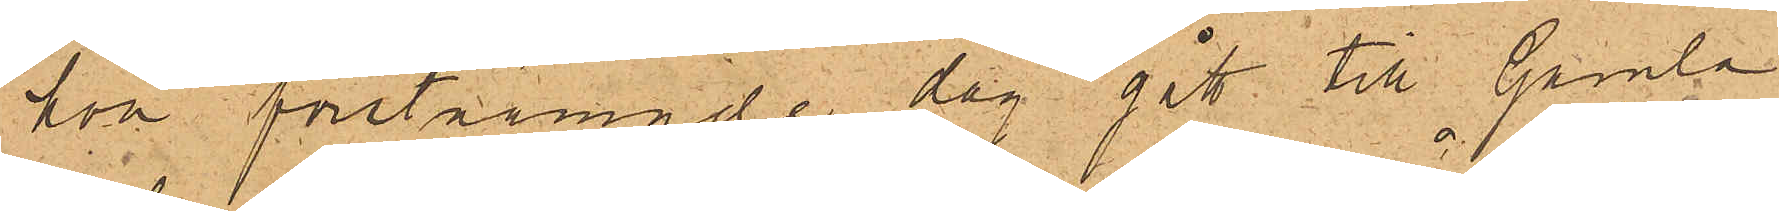hon förstnämnde dag gått till Gamla
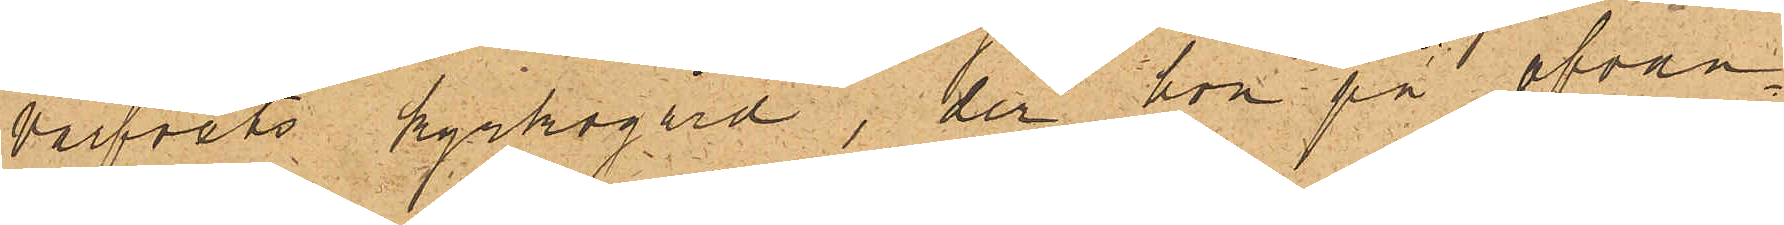varfvets kyrkogård, der hon på ofvan¬
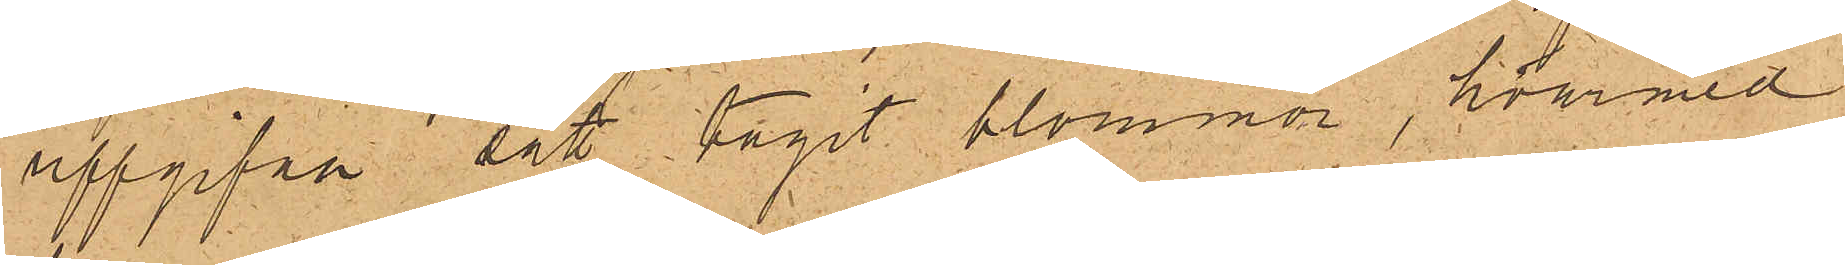uppgifne sätt tagit blommor, hvarmed
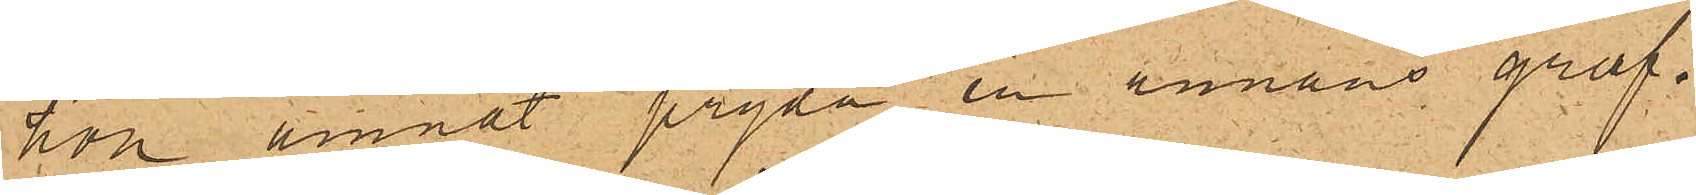hon ämnat pryda en annans graf¬
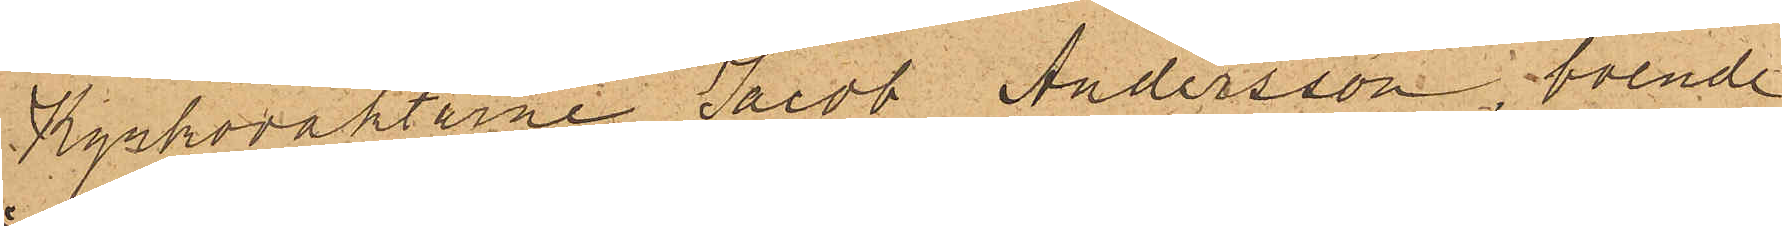Kyrkoväktarne Jacob Andersson, boende
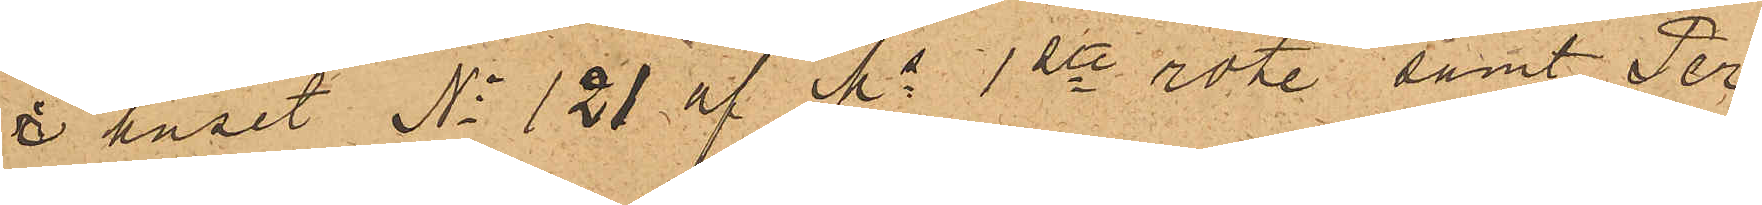i huset No 121 af No 1ste rote, samt Per
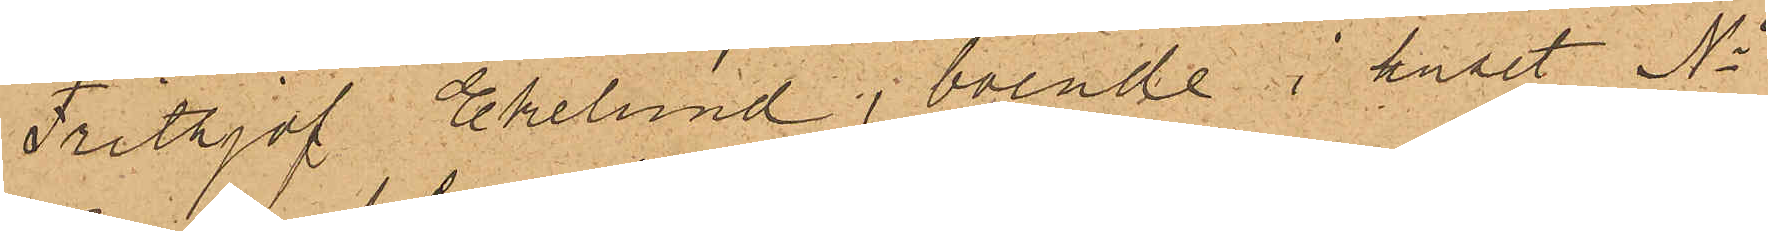Frithjof Ekelund, boende i huset No
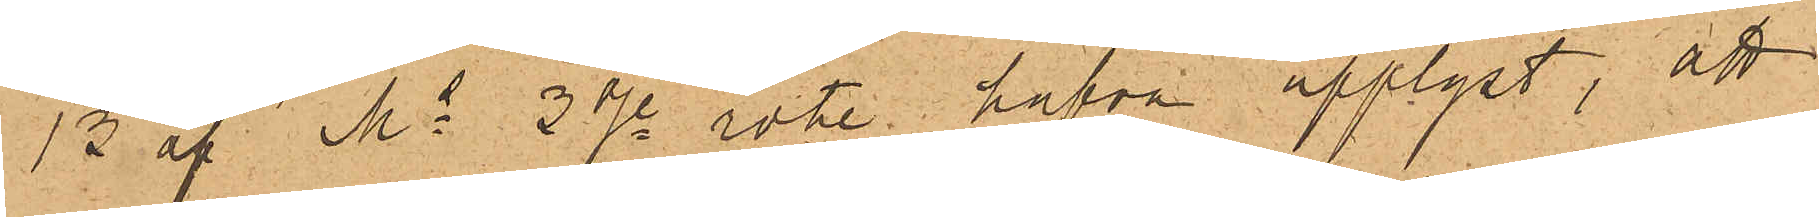13 af Ms 3dje rote, hafva upplyst, att
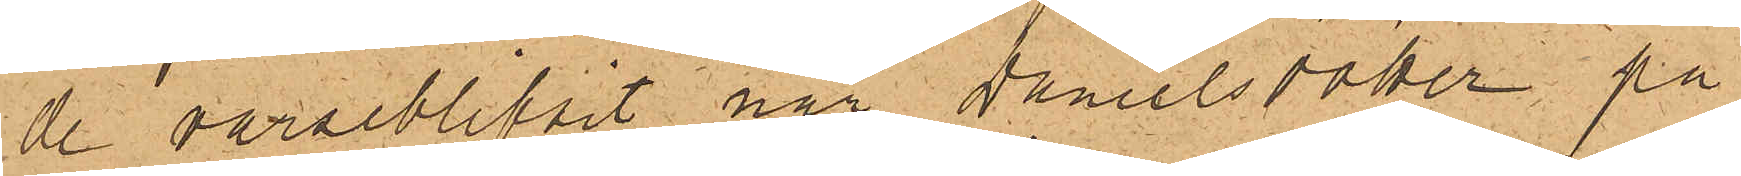de varseblifvit när Danielsdotter, på
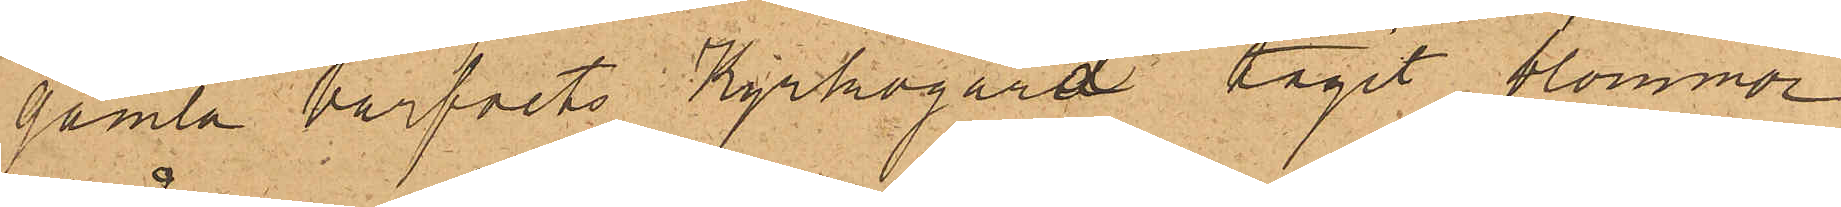gamla varfvits Kyrkogård tagit blommor
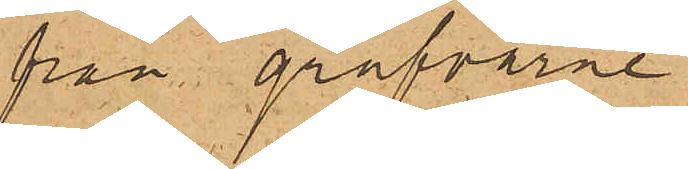från grafvarne
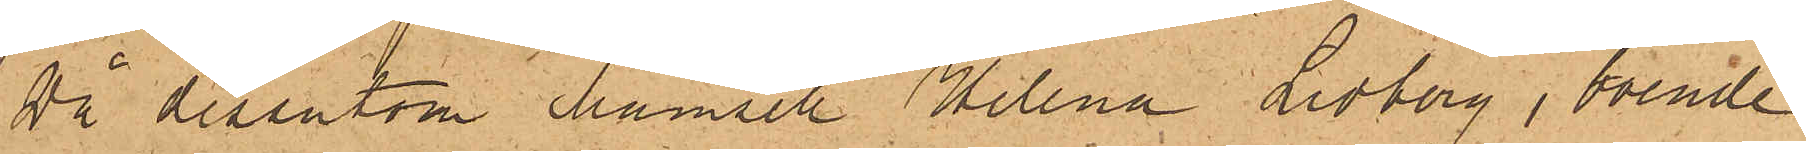då dessutom Mamsell Helena Lidborg, boende
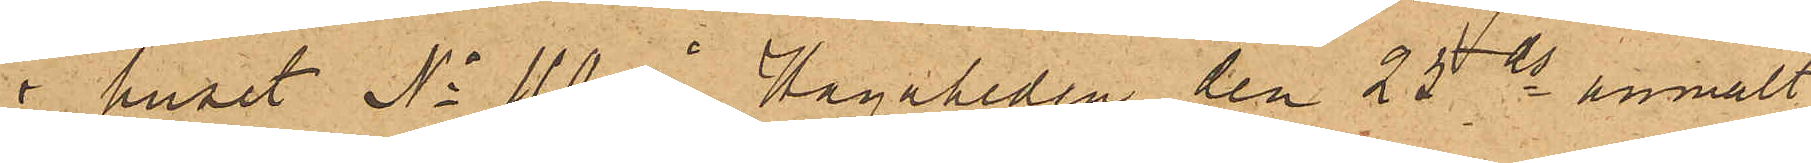i huset No 110 i Hagaheden den 25 ds anmält
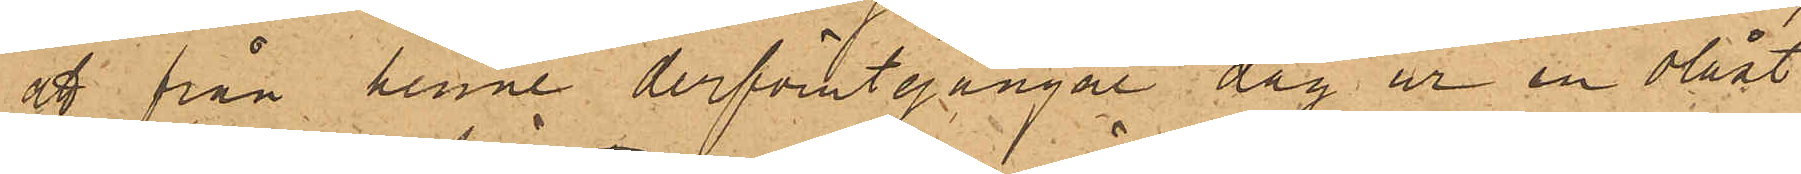att från henne derförutgångne dag ur en olåst
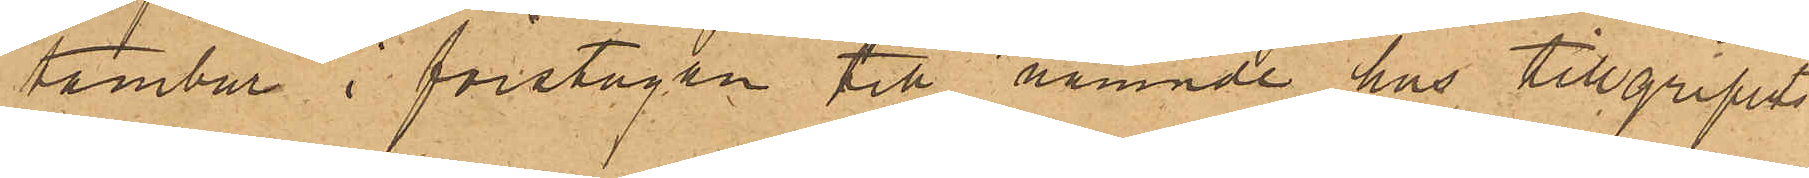tambur i förstugan till nämnde hus tillgripits
